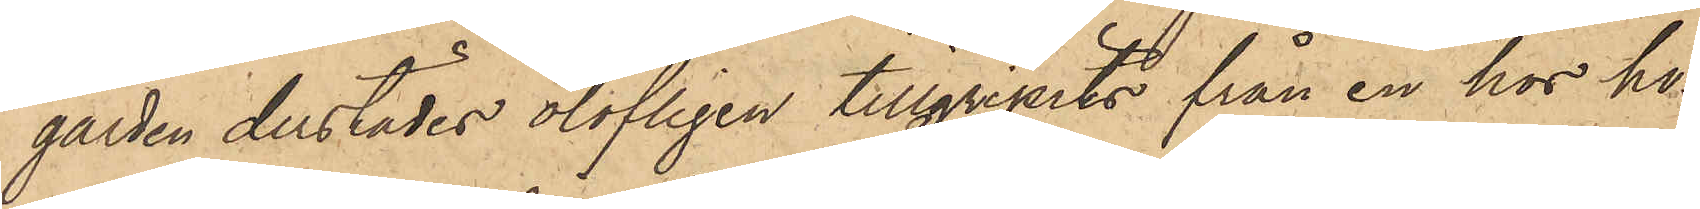gården derstädes olofligen tillgripits från en hos ho¬
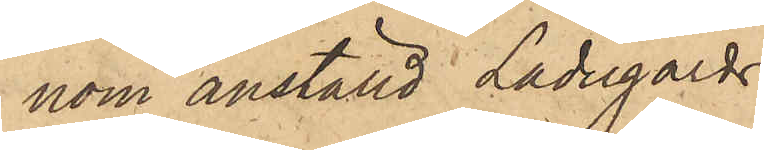nom anställd Ladugårds¬
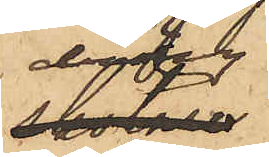dräng
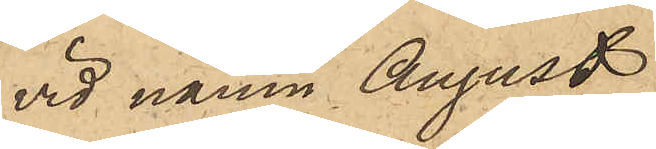vid namn August
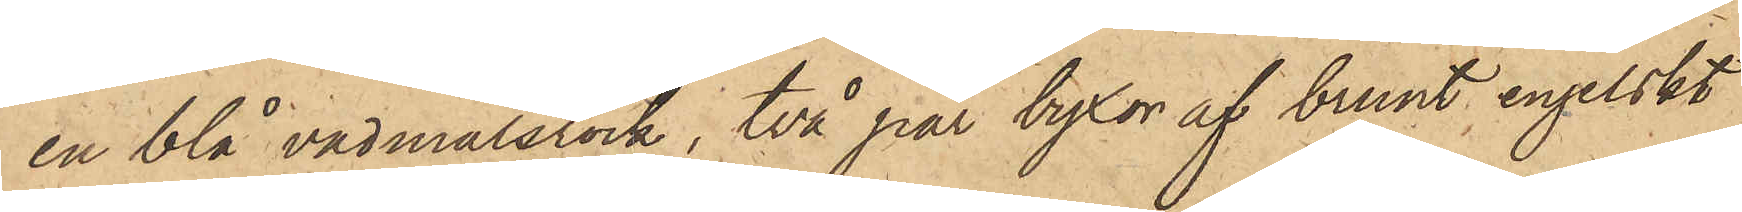en blå vadmalsrock, två par byxor af brunt engelskt
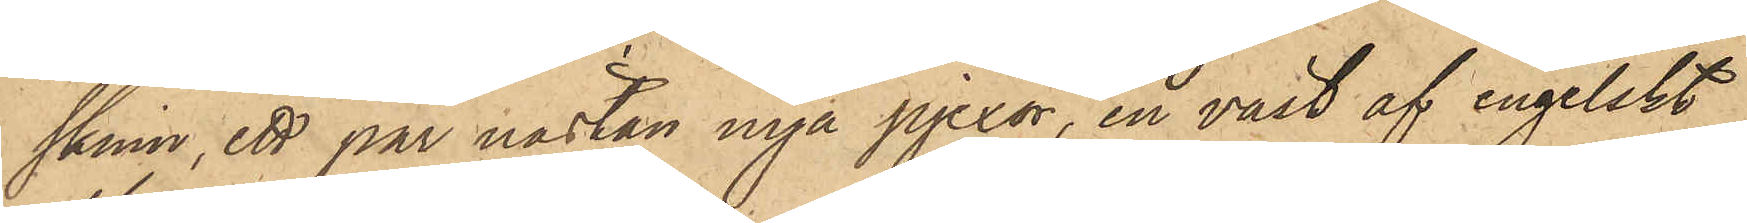skinn, ett par nästan nya pjexor, en väst af engelskt
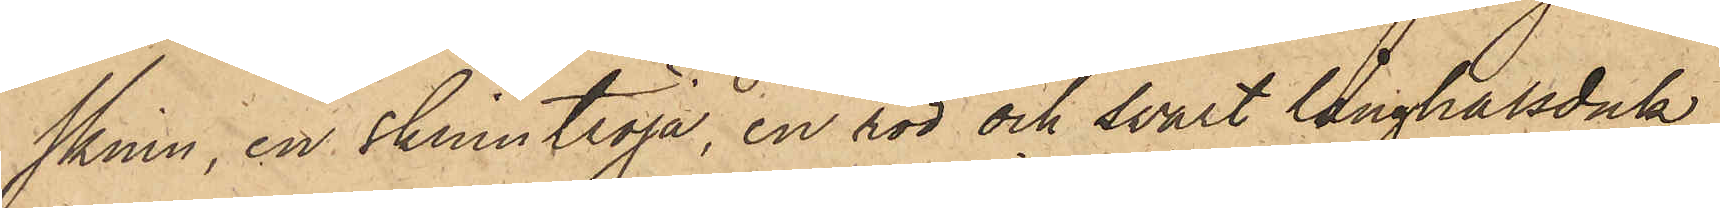skinn, en skinntröja, en röd och svart långhalsduk,
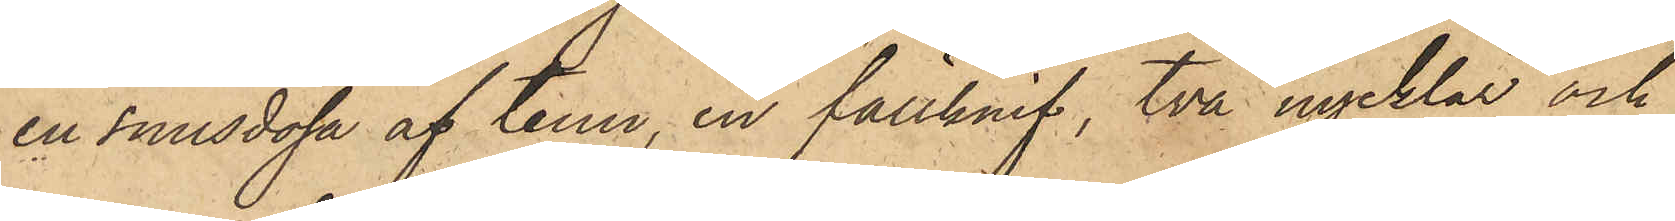en snusdosa af tenn, en fällknif, två nycklar och
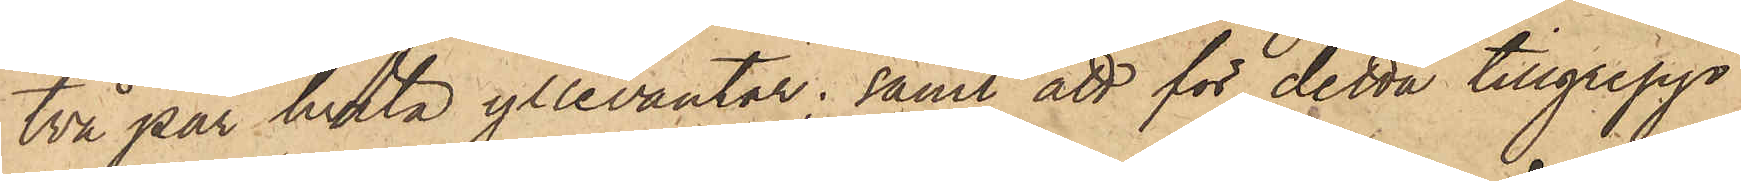två par hvita yllevantar; samt att för detta tillgrepp
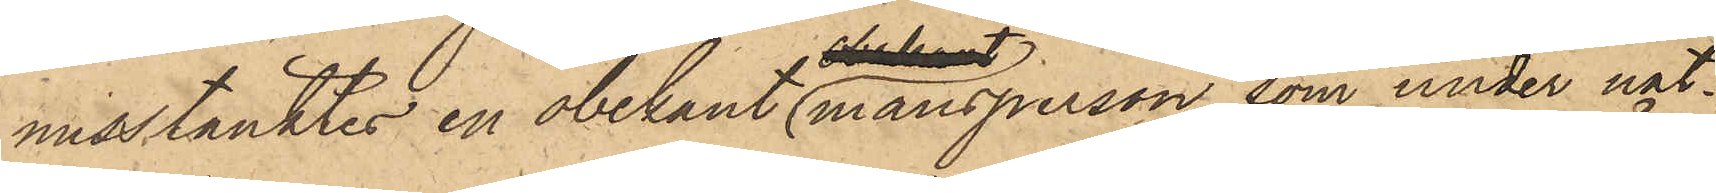misstänktes en obekant mansperson, som under nat¬
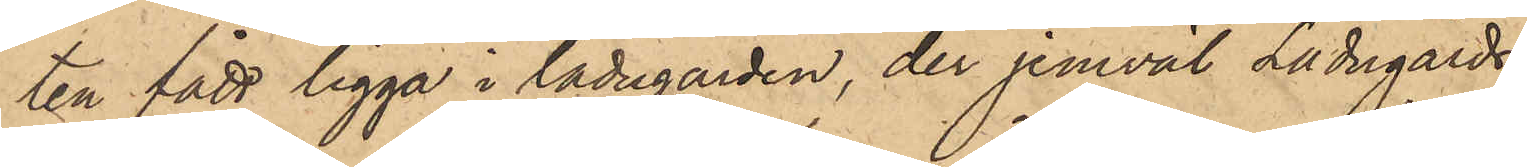ten fått ligga i ladugården, der jemväl Ladugårds¬
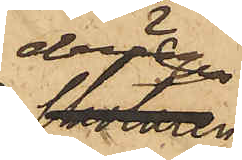drängen 
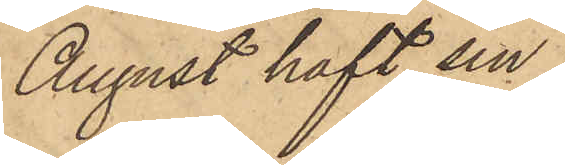August haft sin
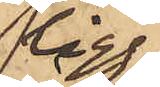ligg¬
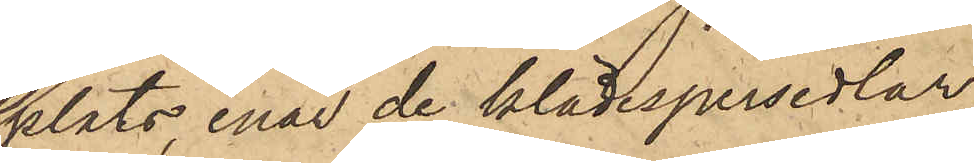plats, enär de klädespersedlar,
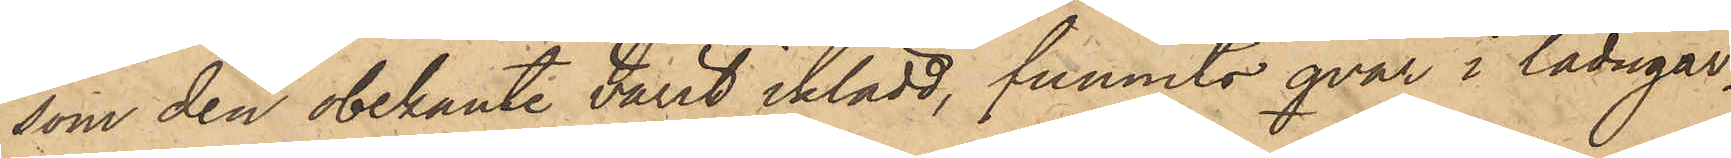som den obekante varit iklädd, funnits qvar i ladugår¬
